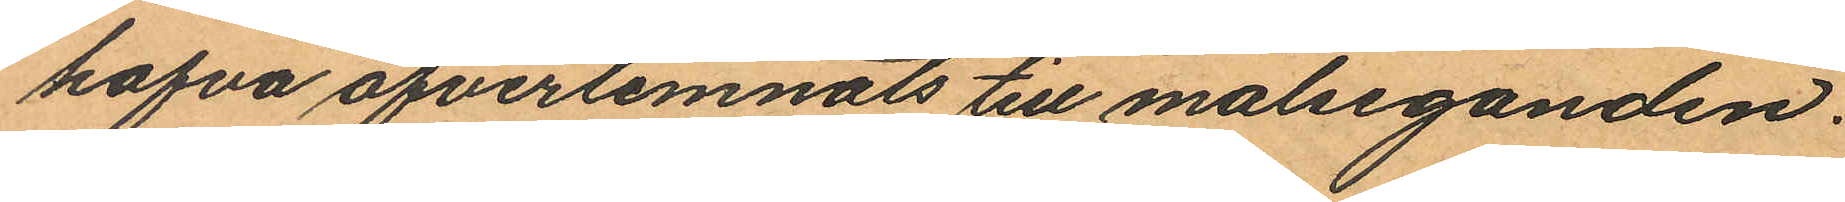hafva öfverlemnats till målseganden.
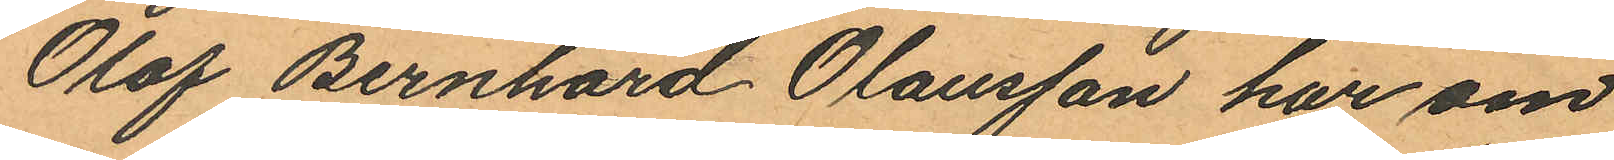Olof Bernhard Olausson har om
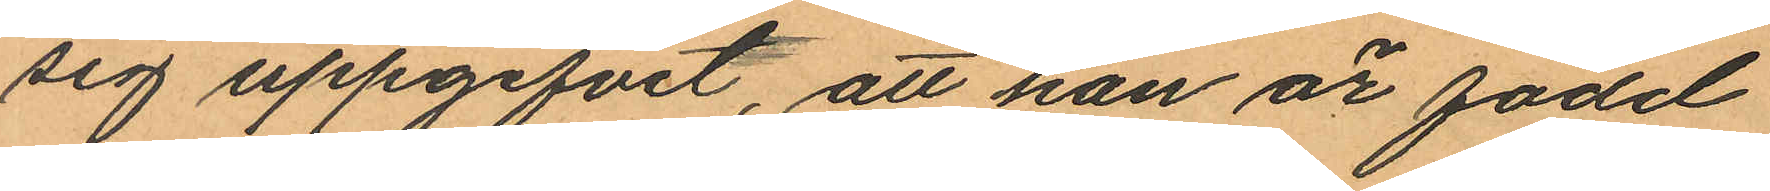sig uppgifvit, att han är född
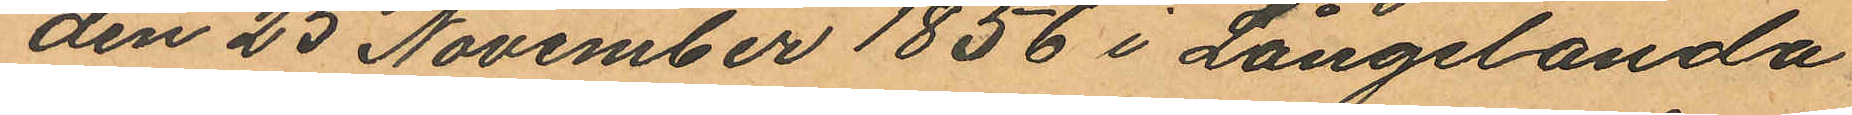den 25 November 1856 i Långelanda
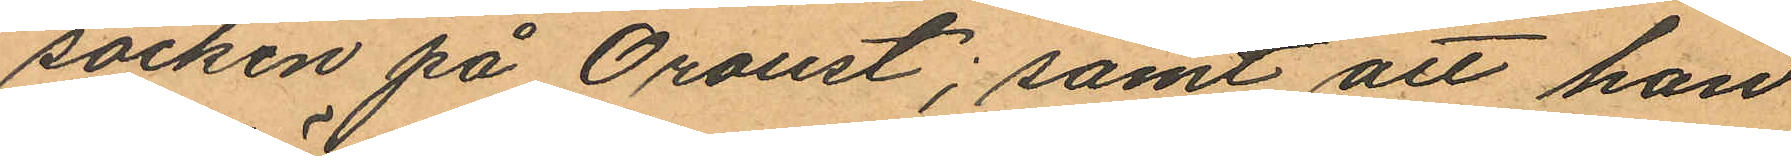socken på Oroust; samt att han
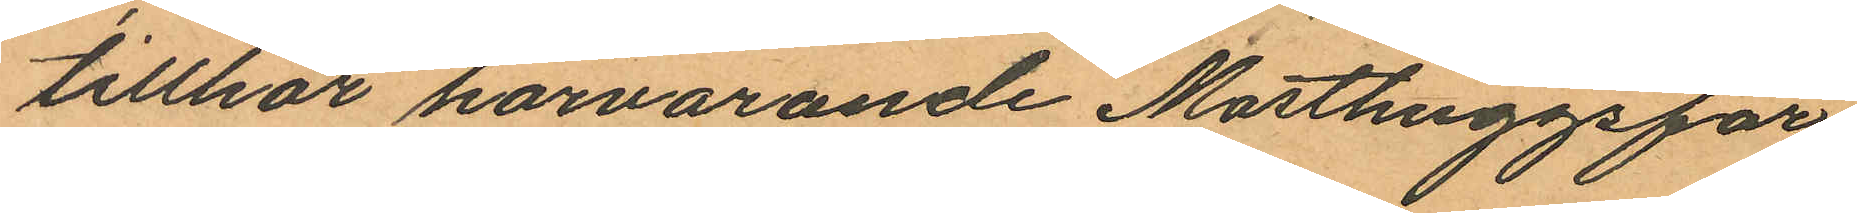tillhör härvarande Masthuggsför
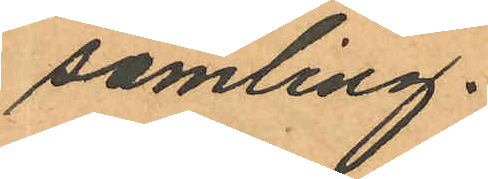samling.
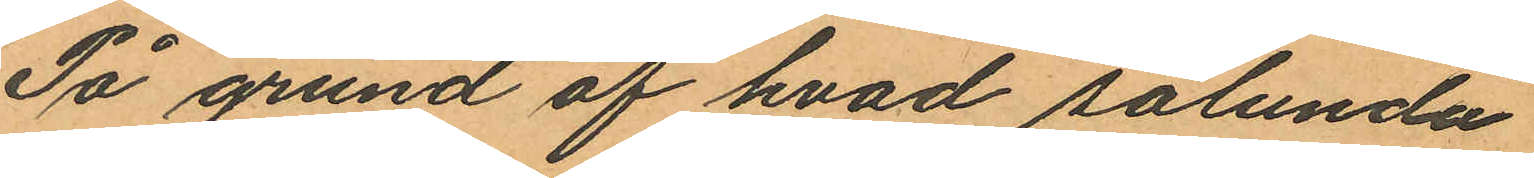På grund af hvad sålunda
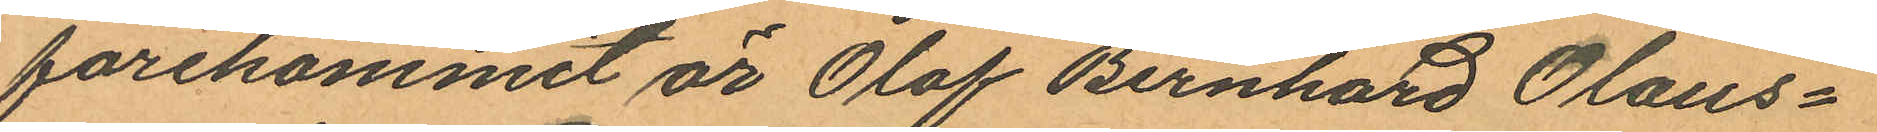förekommit är Olof Bernhard Olaus¬
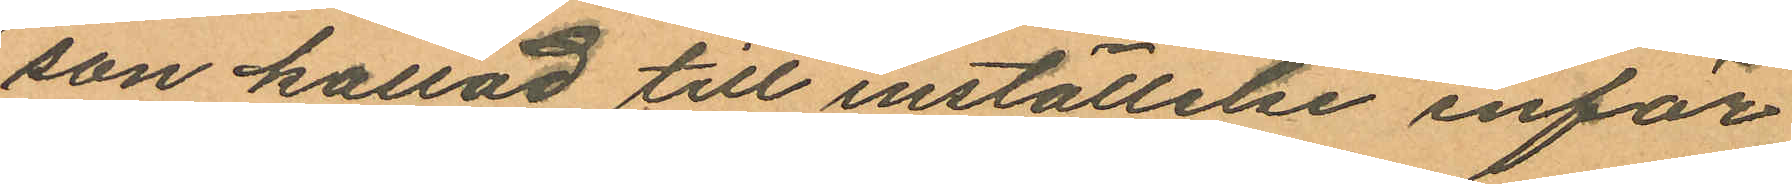son kallad till inställelse inför
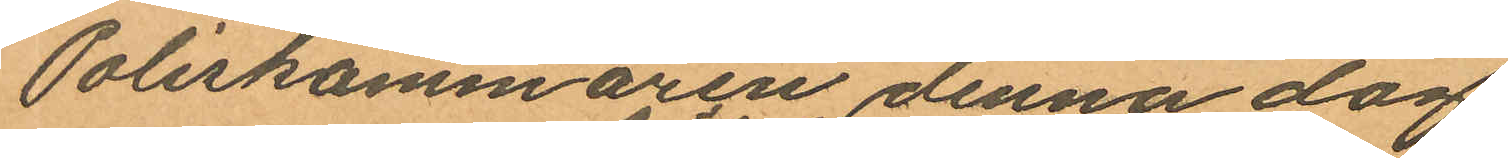Poliskammaren denna dag
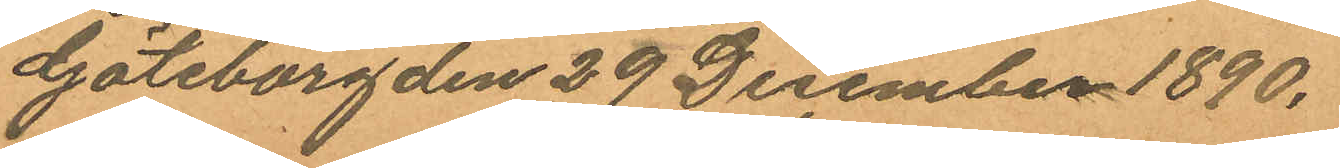Göteborg den 29 December 1890.
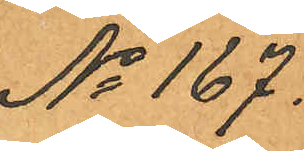No 167.
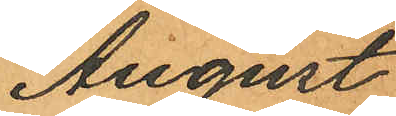August
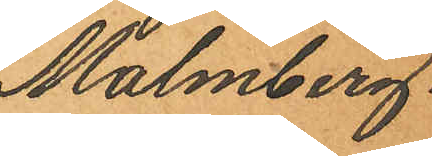Malmberg.
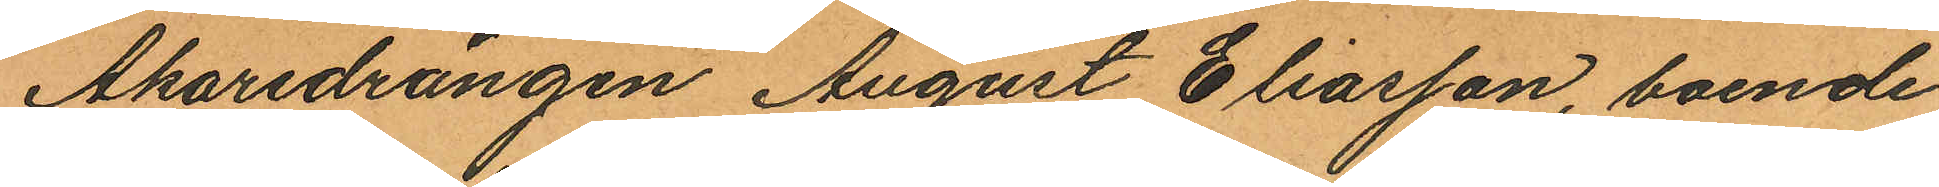Åkaredrängen August Eliasson, boende
